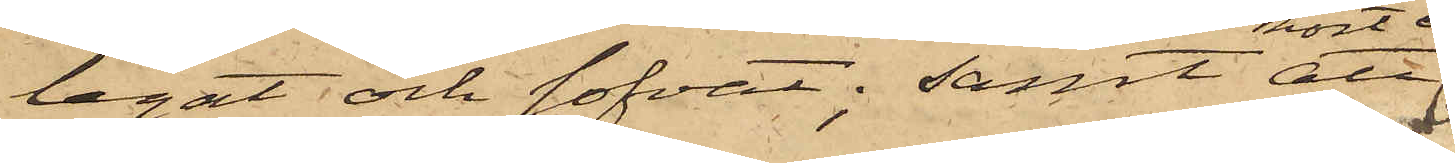legat och sofvat; samt att
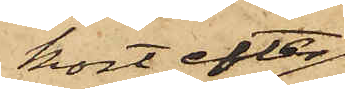kort efter
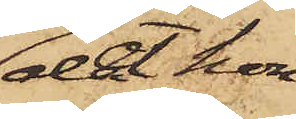det hon
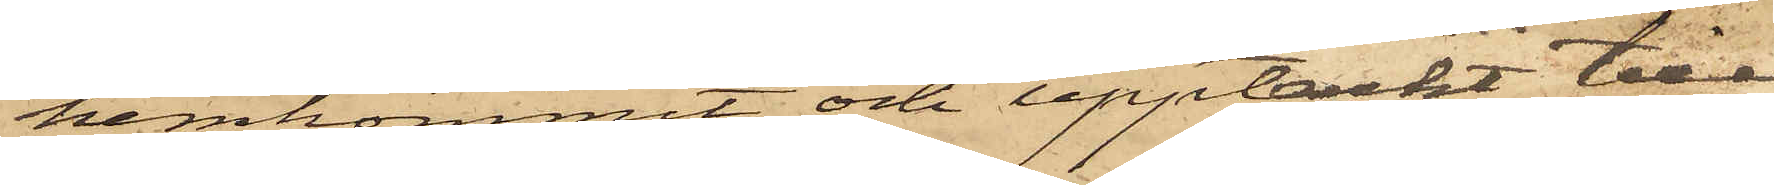hemkommit och upptäckt till¬
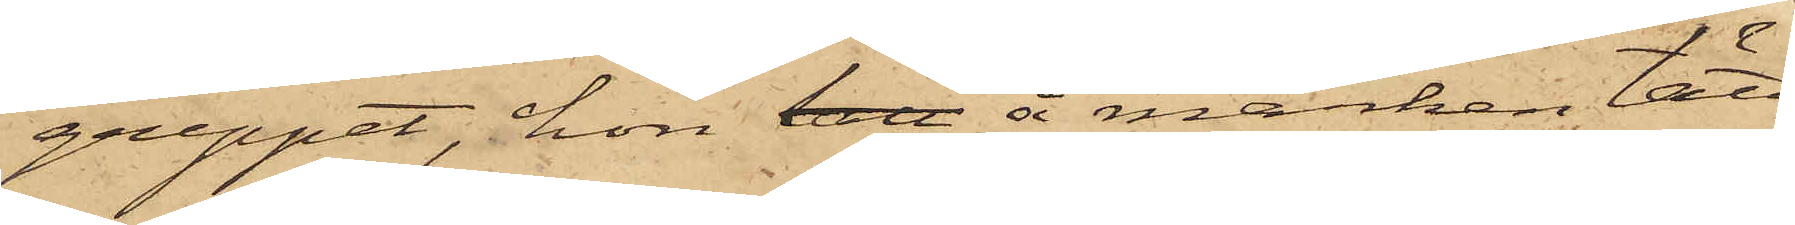greppet, hon tatt å marken tätt
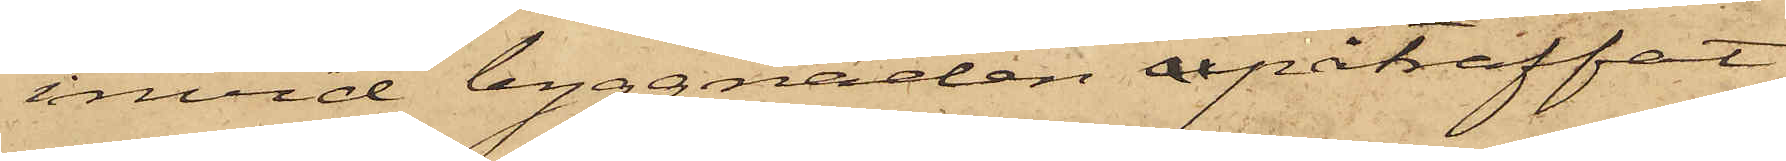invid byggnaden apåträffat
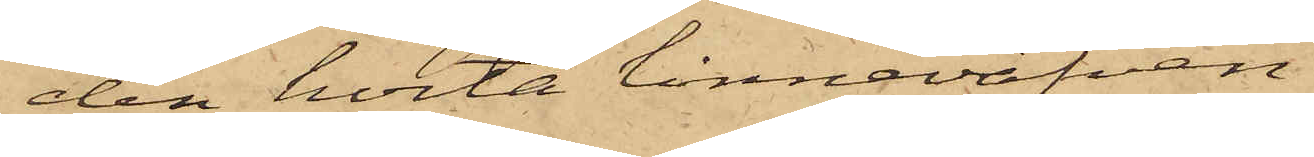den hvita linneväfven.
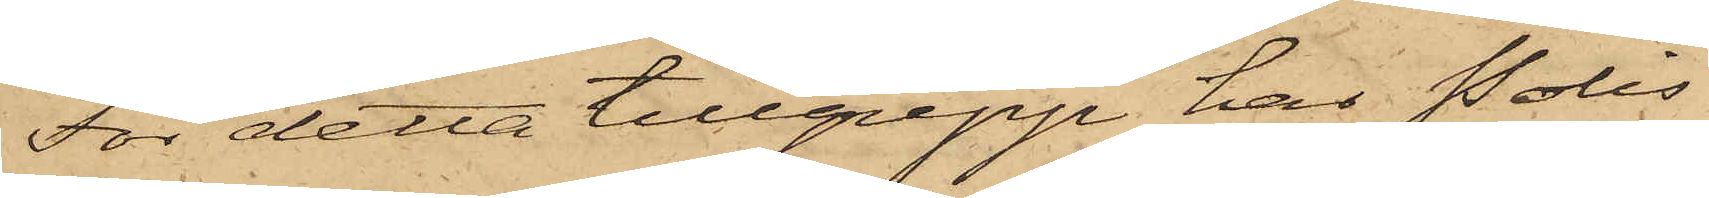För detta tillgrepp har Polis¬
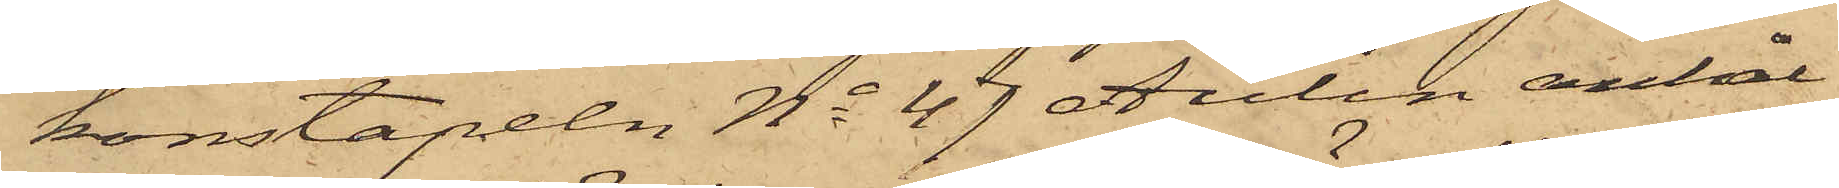konstapeln No 47 Aulin anhål¬
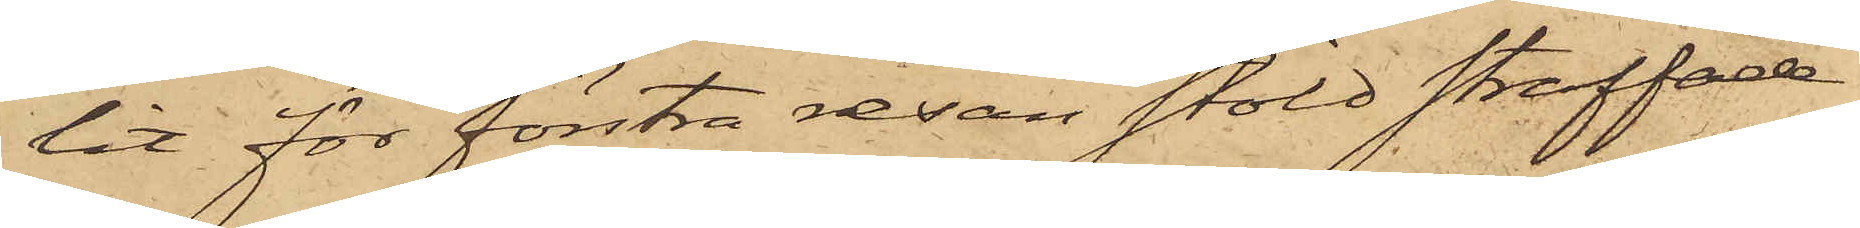lit för förstra resan stöld straffade
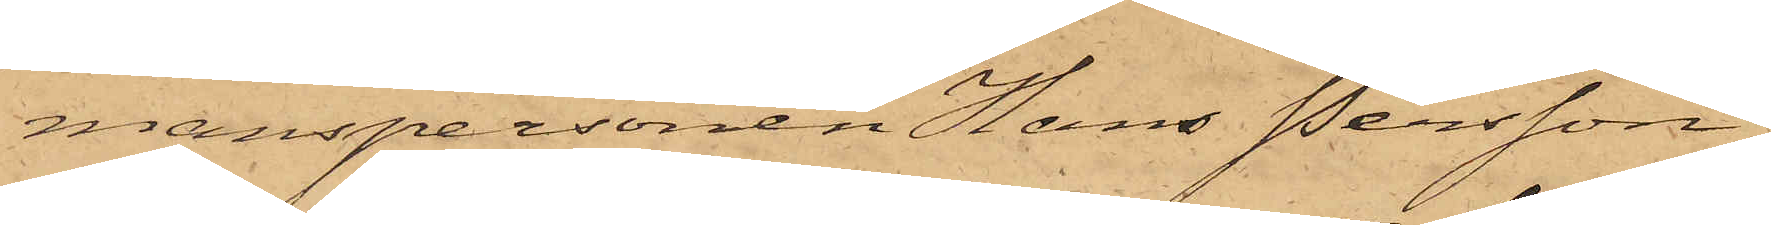manspersonen Hans Persson,
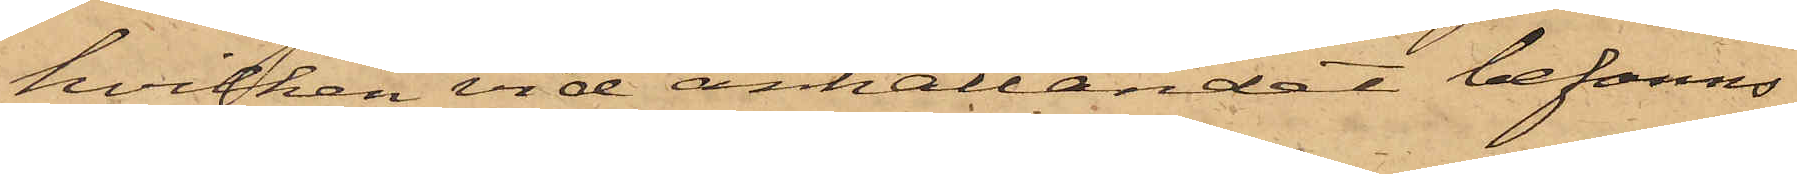hvilken vid anhållandet befanns
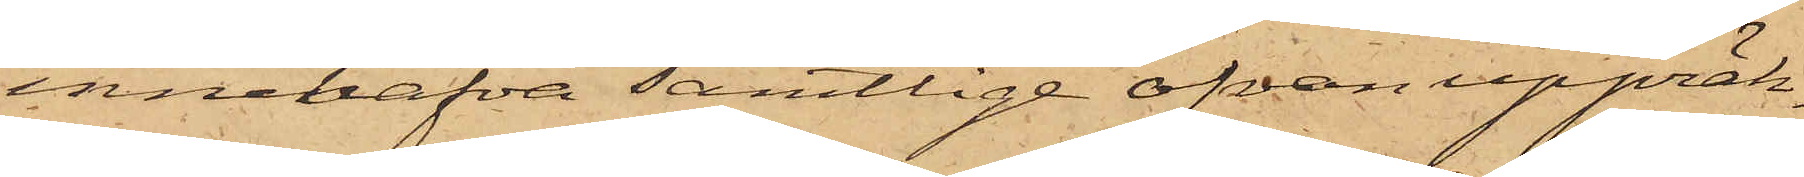innehafva samtlige ofvan uppräk¬
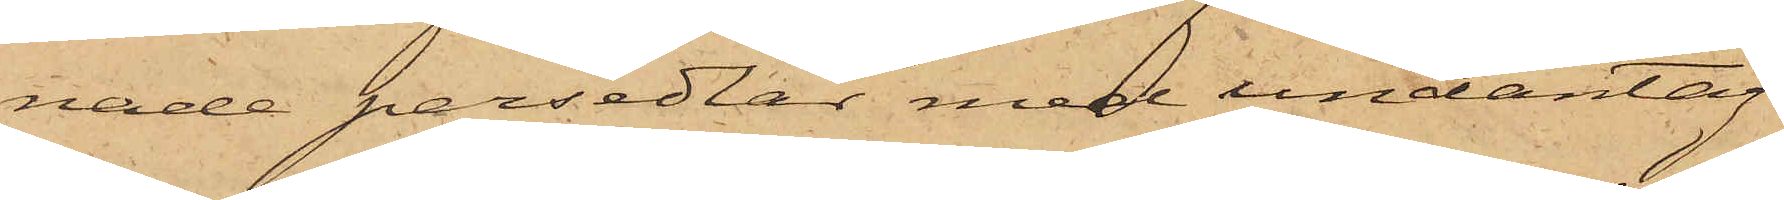nade persedlar med undantag¬
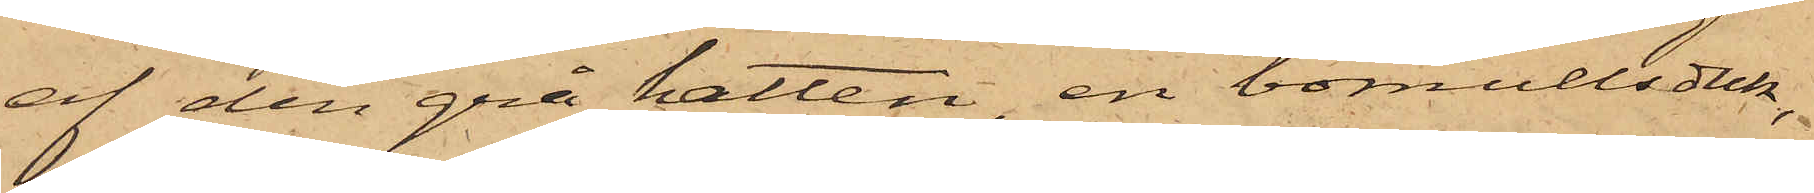af den grå hatten, en bomullsduk,
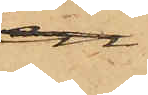att
